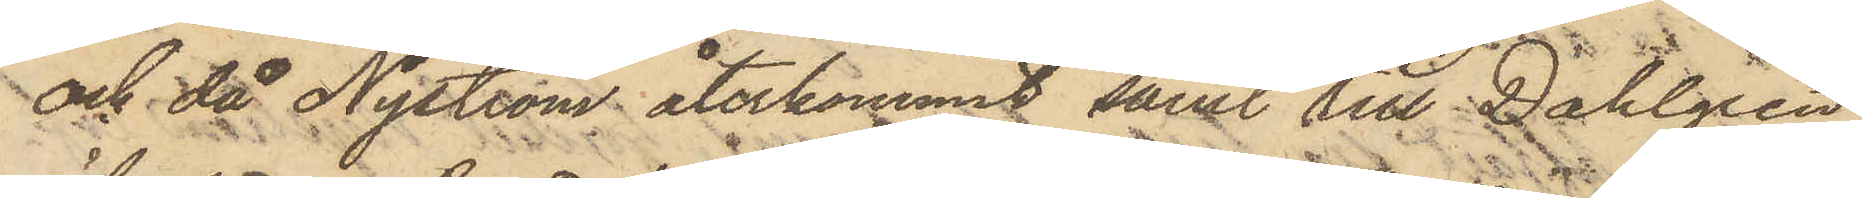och då Nyström återkommit samt till Dahlgren
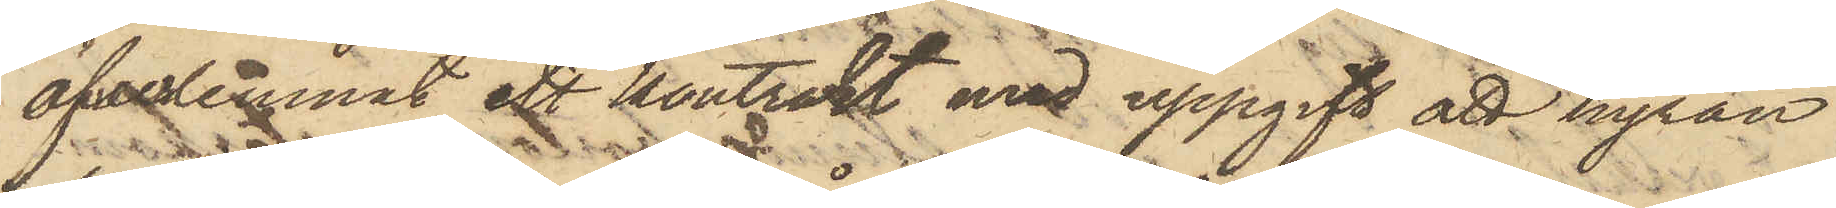öfverlemnat ett kontrakt med uppgift att hyran
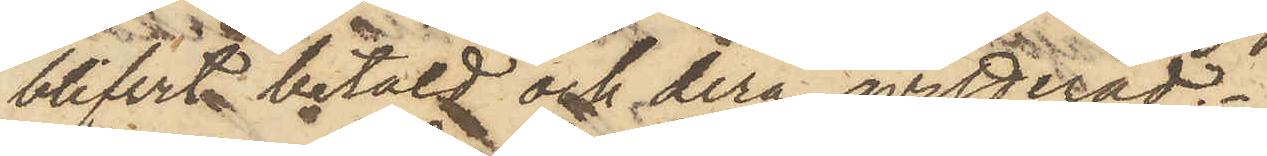blifvit betald och derå qvitterad.
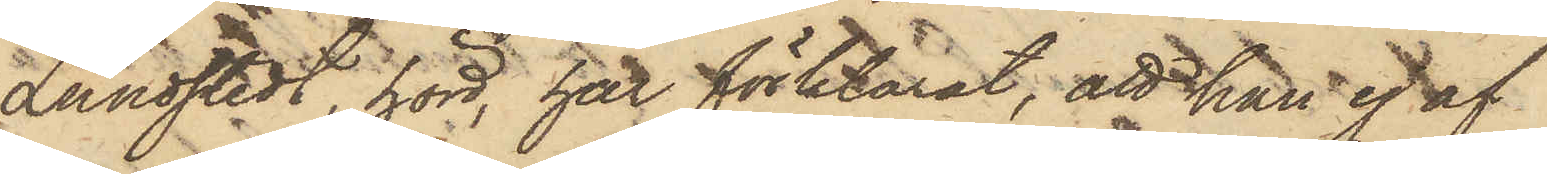Lundstedt, hörd, har förklarat, att han ej af
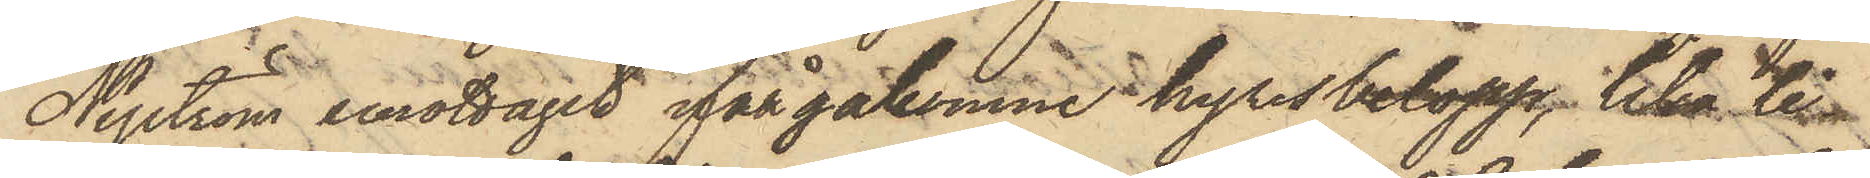Nyström emottagit ifrågakomne hyresbelopp, lika li¬
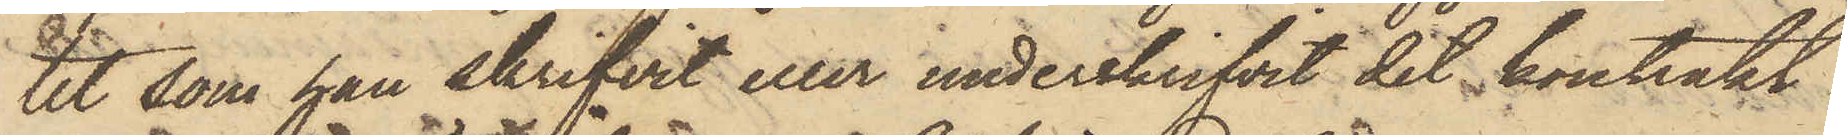tet som han skrifvit eller underskrifvit det kontrakt
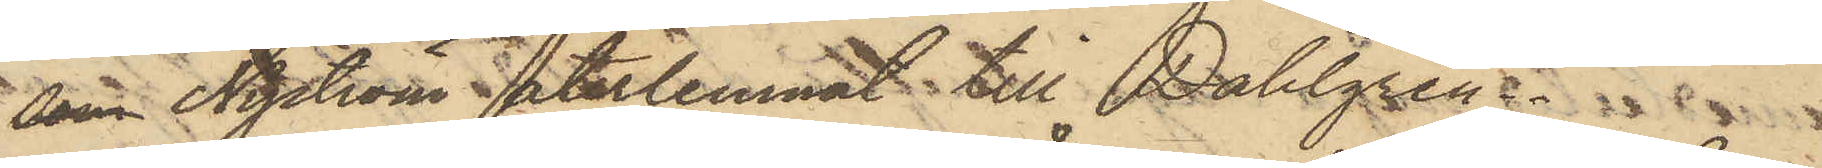som Nyström återlemnat till Dahlgren.
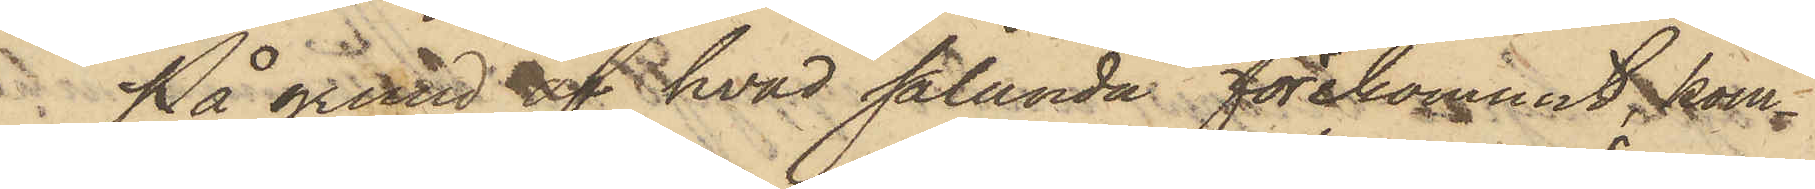På grund af hvad sålunda förekommit kom¬
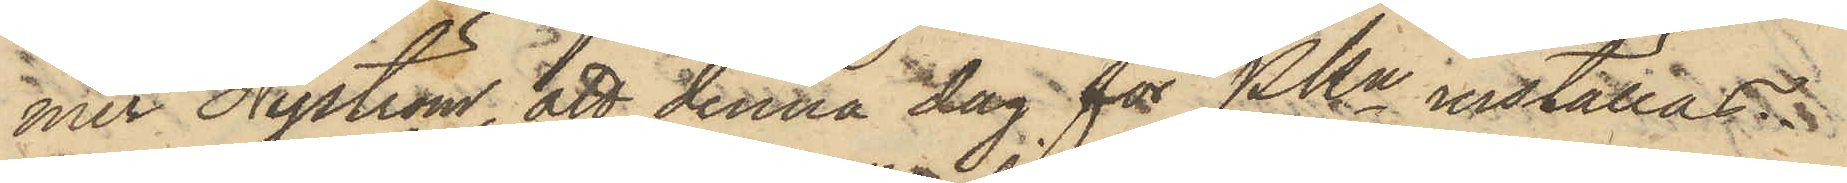mer Nyström, att denna dag för PKn inställas.
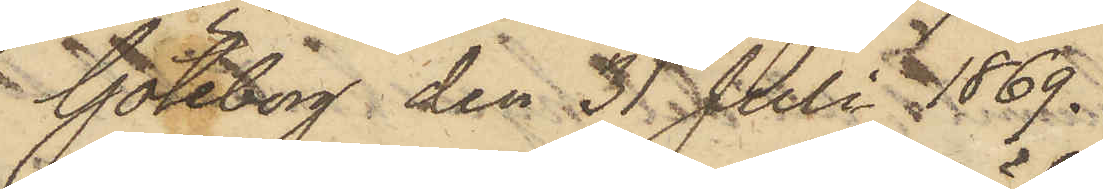Göteborg den 31 Juli 1869.
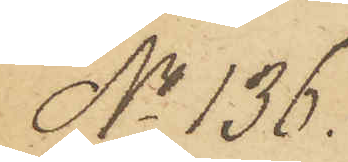No 136.
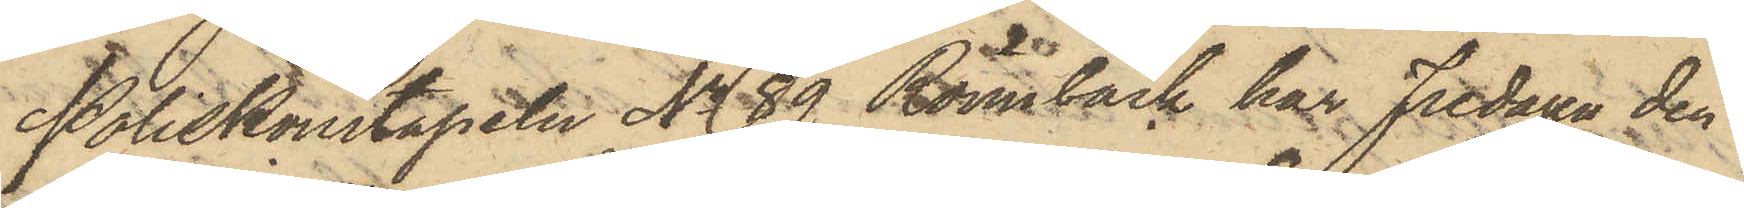Poliskonstapeln No 89 Rönnbäck har Fredagen den
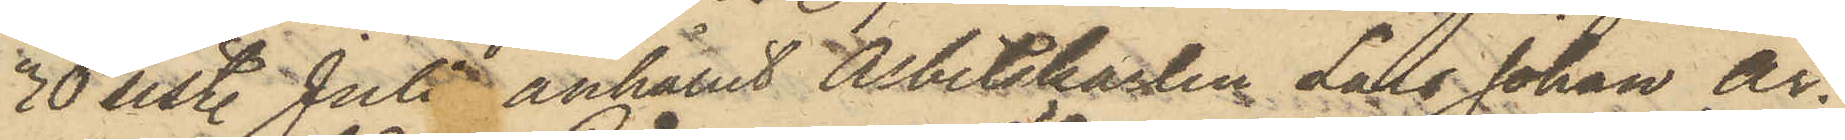30 sist. Juli anhållit Arbetskarlen Lars Johan Ar¬
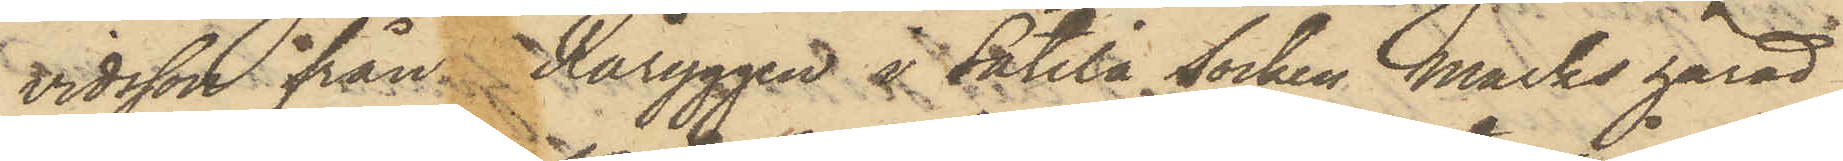vidsson ifrån Råryggen å Sätila Socken Marks härad
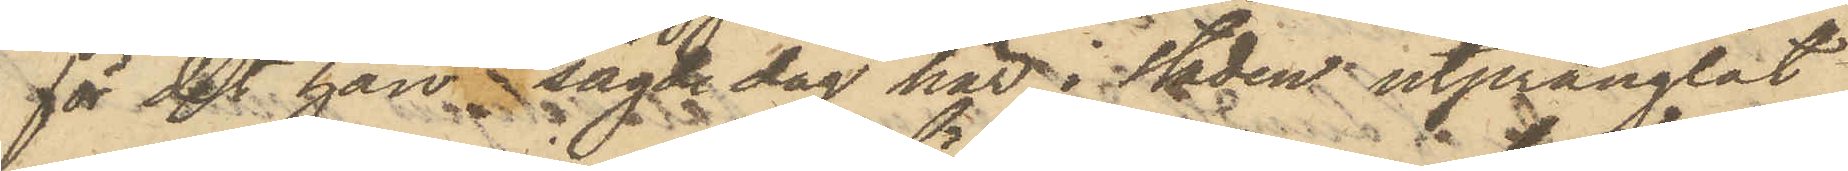för det han sagde dag här i Staden utprånglat
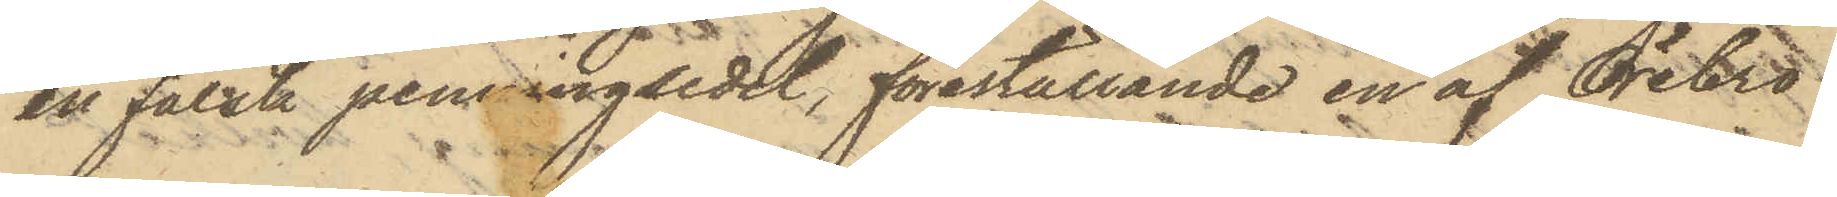en falsk penningsedel, föreställande en af Örebro
